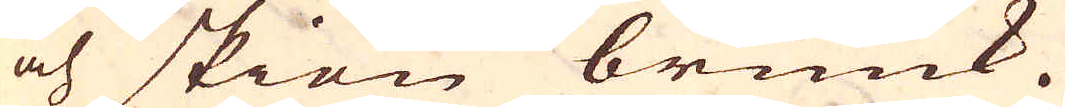och skiön bruuk.
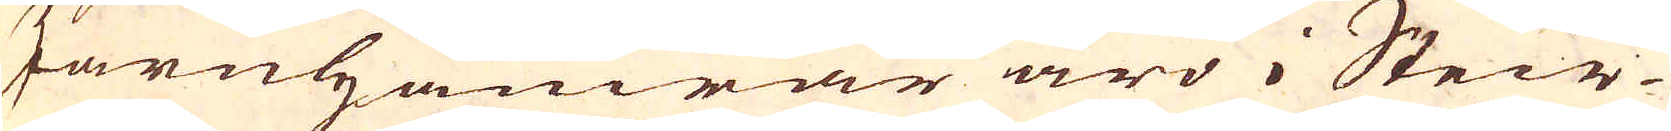Järnhamrar äro i Steir-
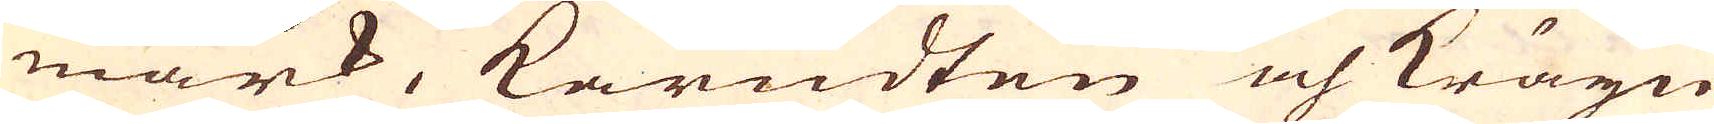mark, karudten och Kräyn
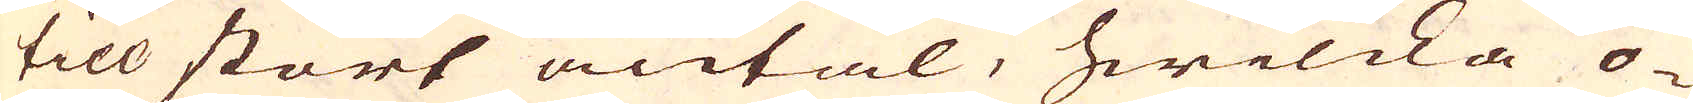till stort antal, hwilcka o-
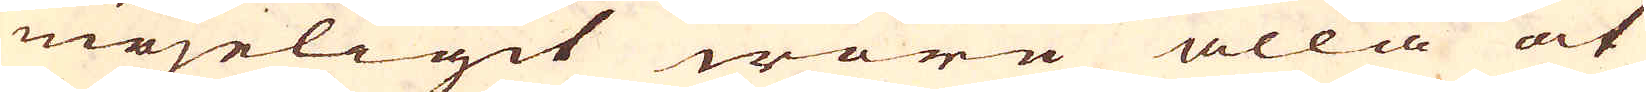möjeligit wore alla at
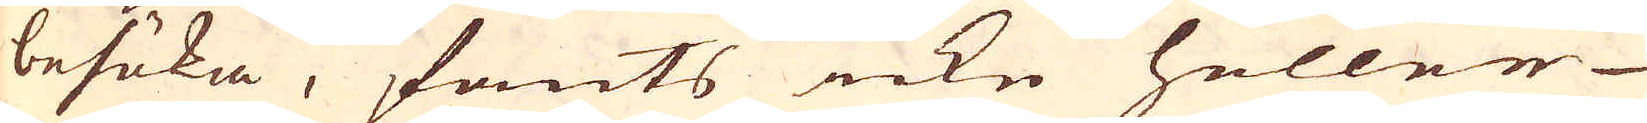besöka, fants icke heller
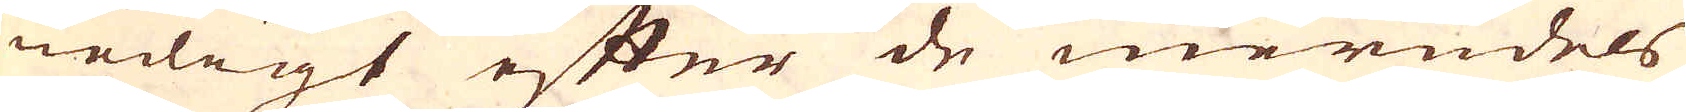nödigt efter de meredels
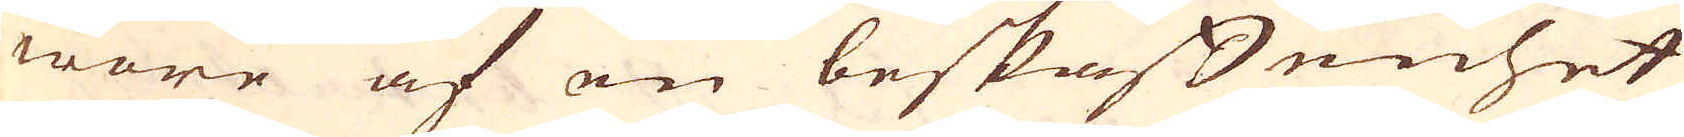wore af en beskaffenhet
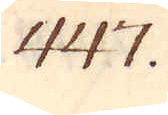447.
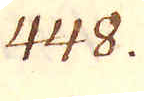448.
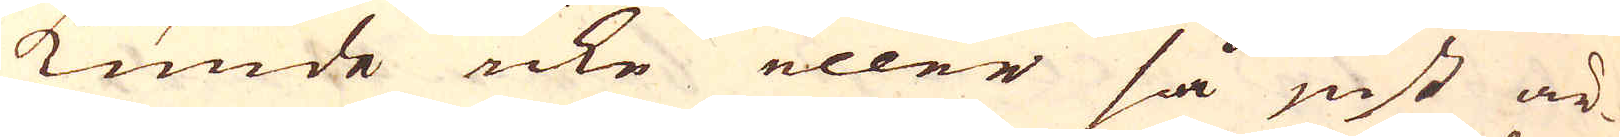kunde icke eller så just är-
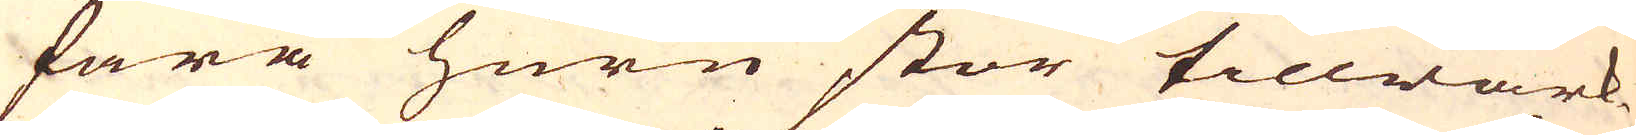fara huru stor tillwärk-
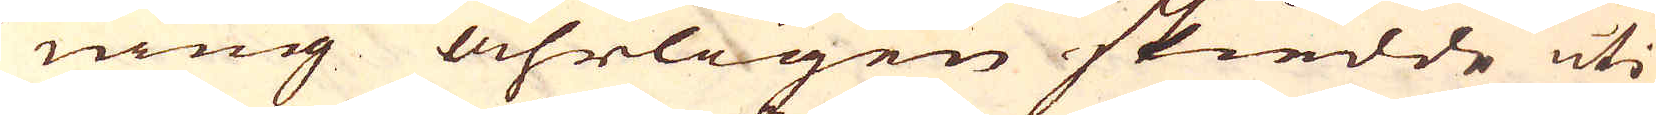ning åhrligen skiedde uti
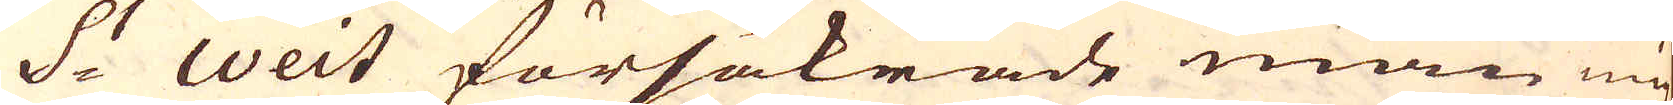S:t Weit försäkrade man mig
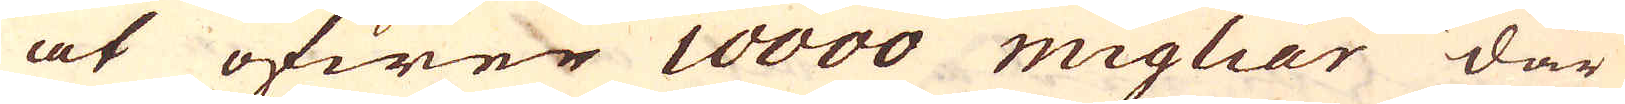at öfwer 10000 migliar där
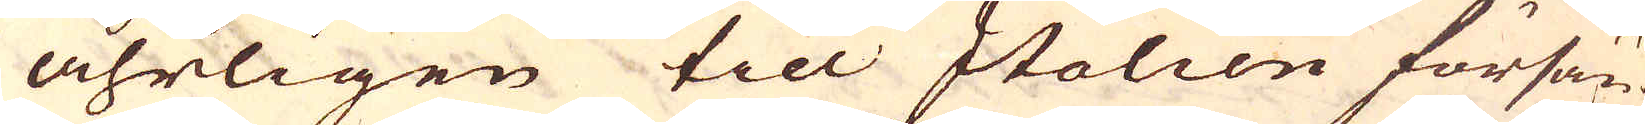åhrligen till Italien försän-
